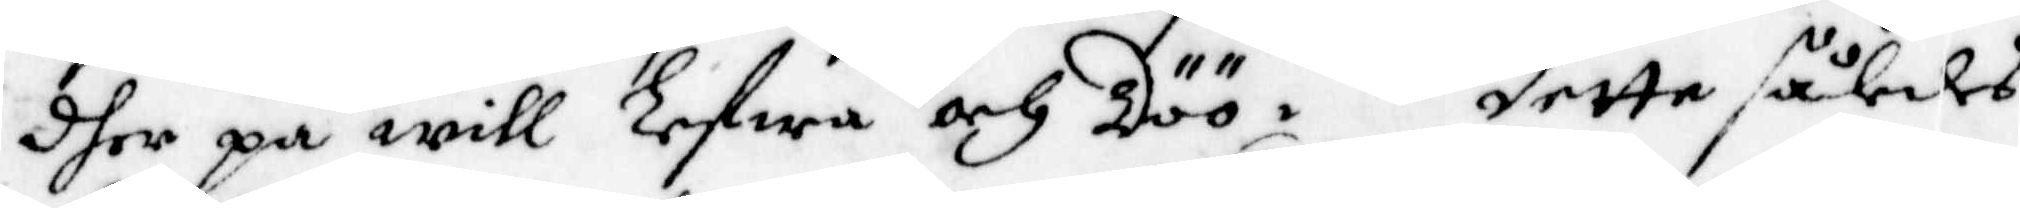dher på will Lefwa och Döö. Detta således
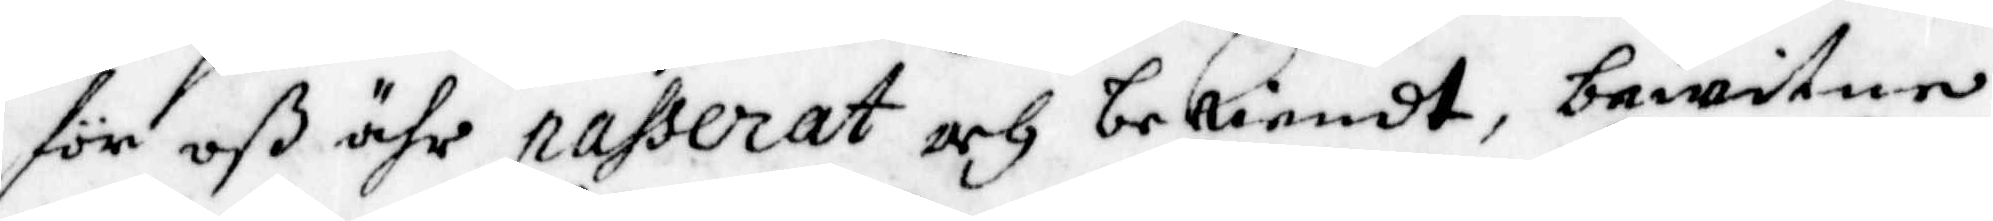för oß ähr passerat och bekiendt, bewitne
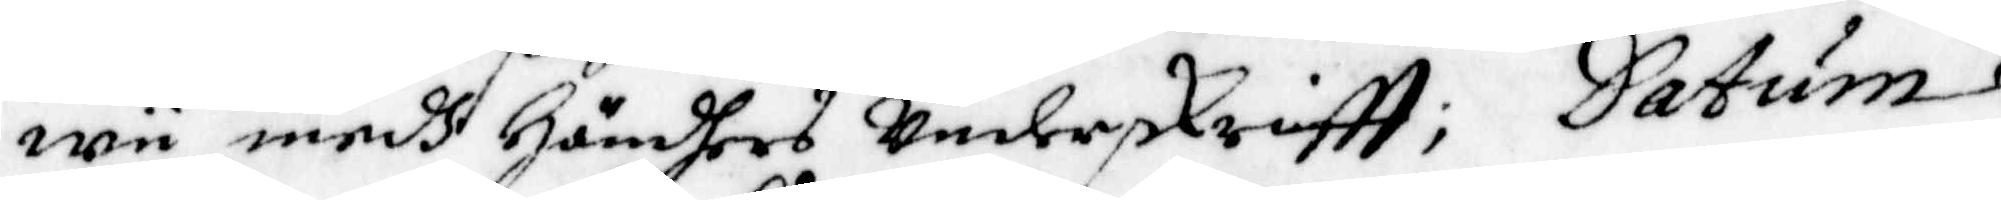wii medh Händhers underskriftt; Datum
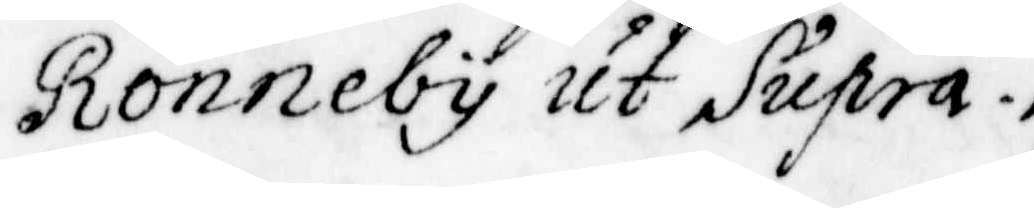Rönneby ut Supra.
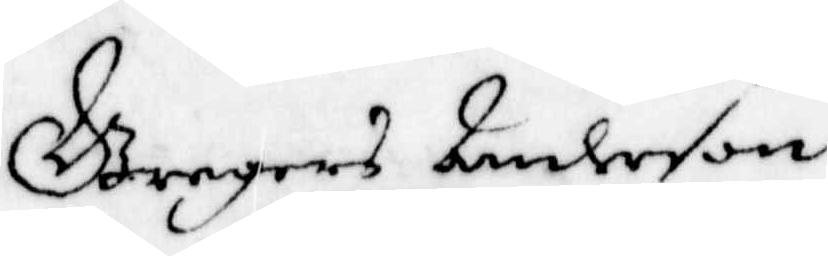Gregers Anderson
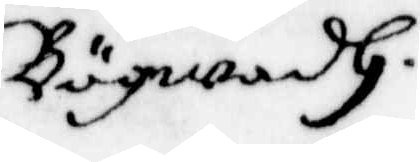Bögwadh.
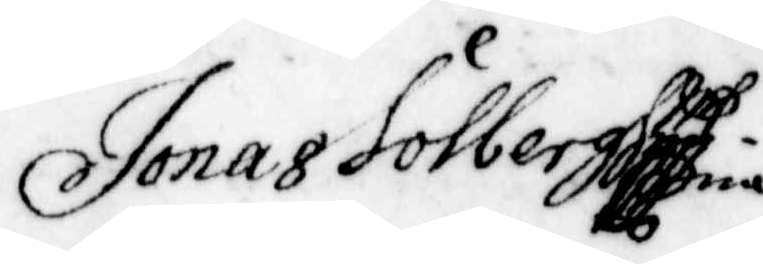Jonas Solberg
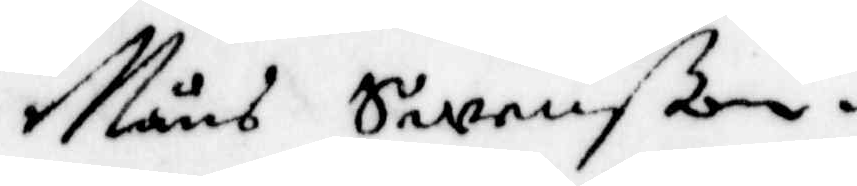Måns Swenßon.
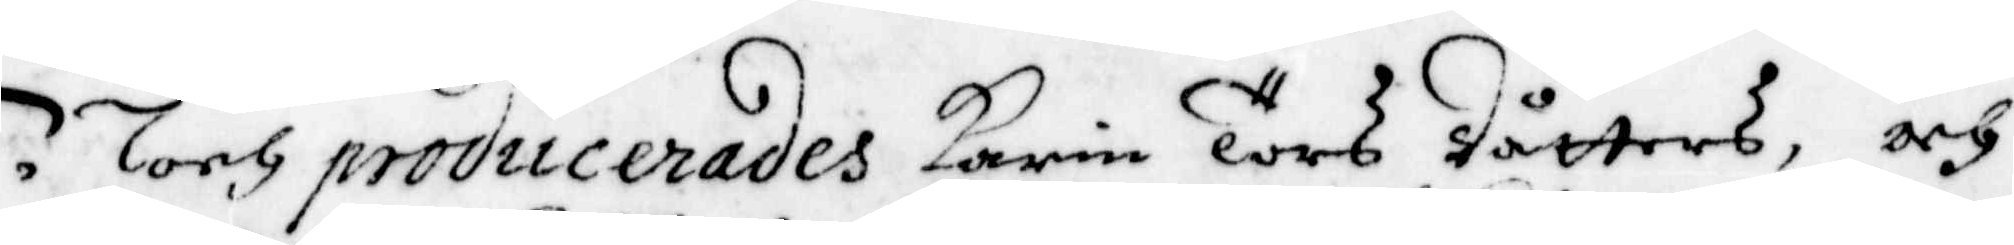Noch producerades Karin Törs Dåtters, och
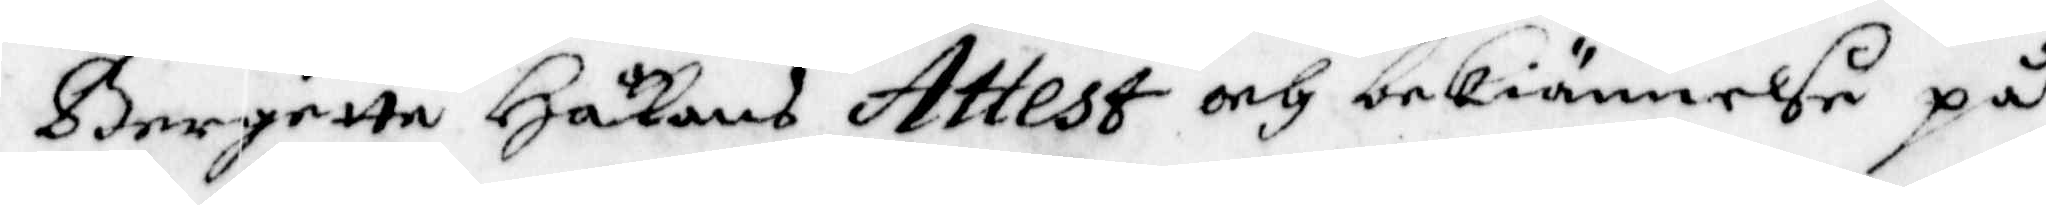Bergette Håkans Attest och bekiännelse på
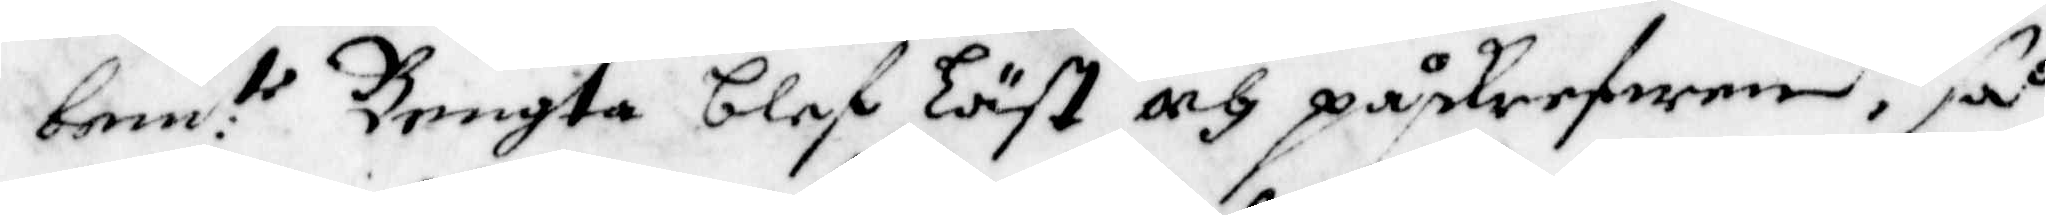bem:te Bengta blef Läst och påskrefwen, så
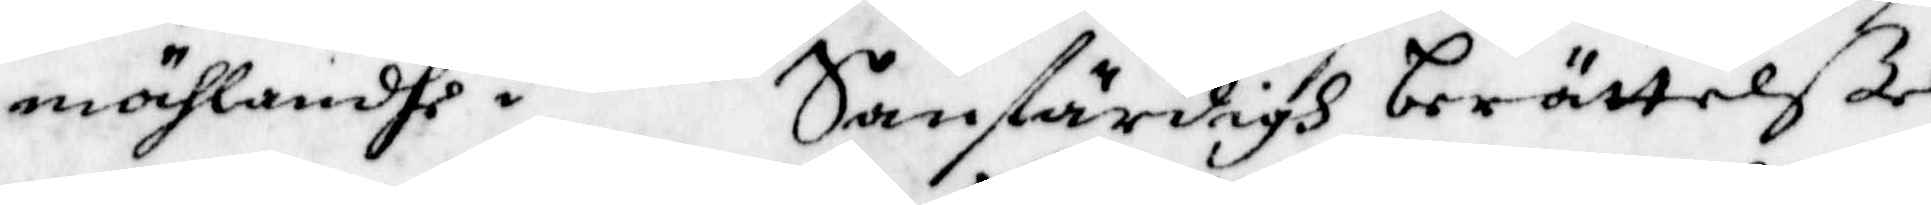möhlandhe. Sanfärdigh berättelße
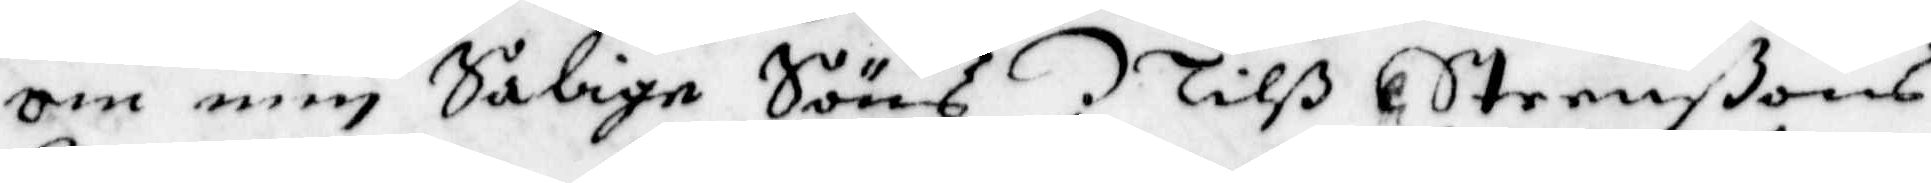om min Sålige Söns Nilß Steenßons
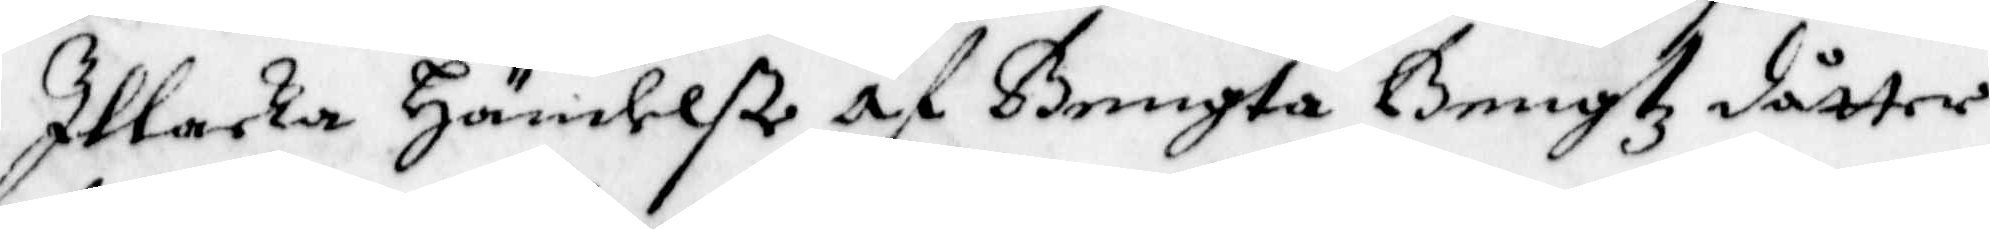Illacka Händelße af Bengta Bengtz dåtter
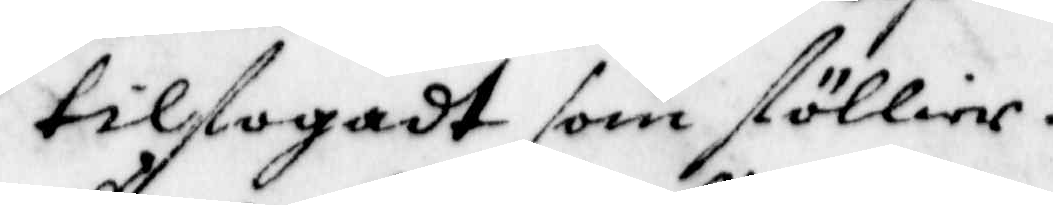tilfogadt som föllier.
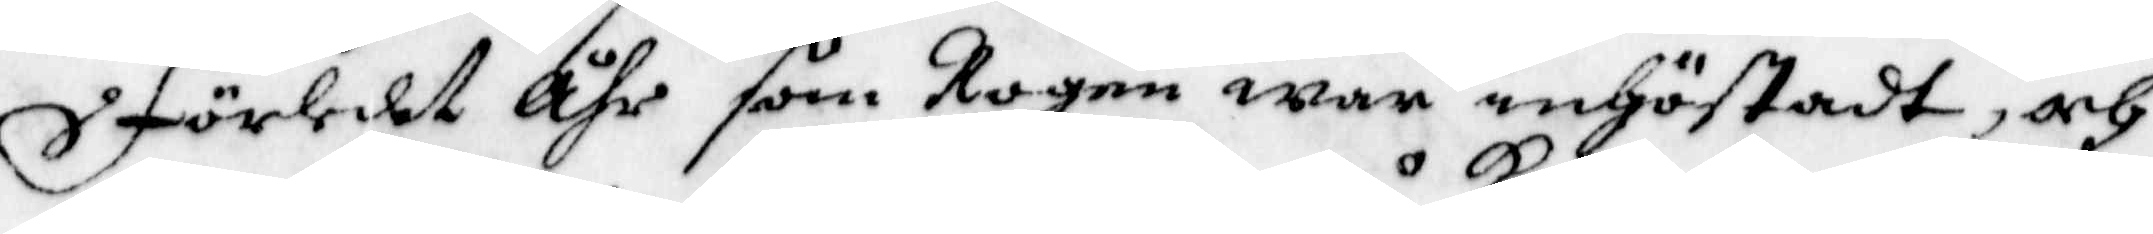Förledet Åhr som Rogen war inhöstadt, och
